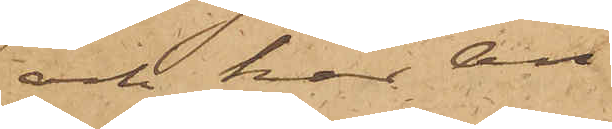och har An¬
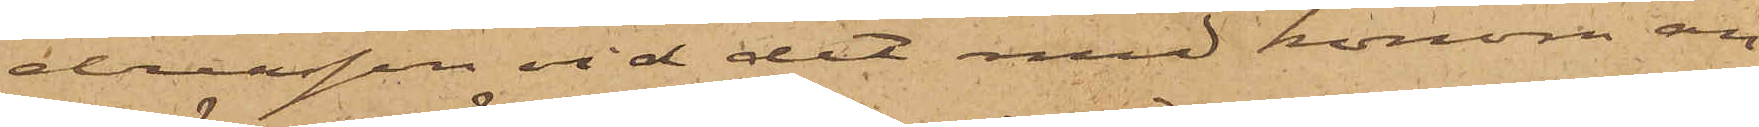dreasson vid det med honom an¬
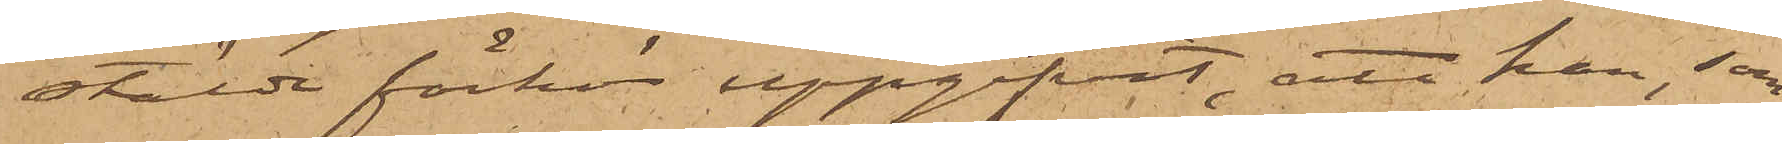stälde förhör uppgifvit, att han, som
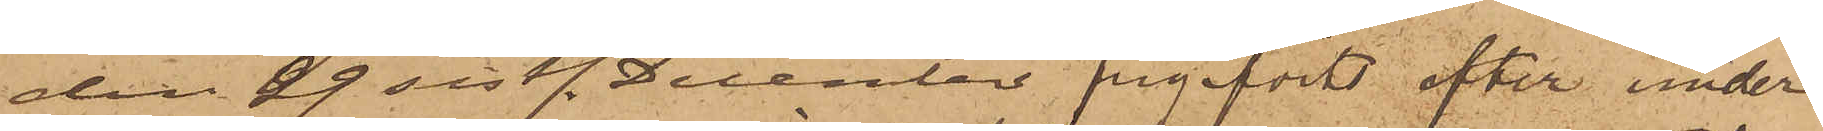den 29 sistl. December frigifvits efter under¬
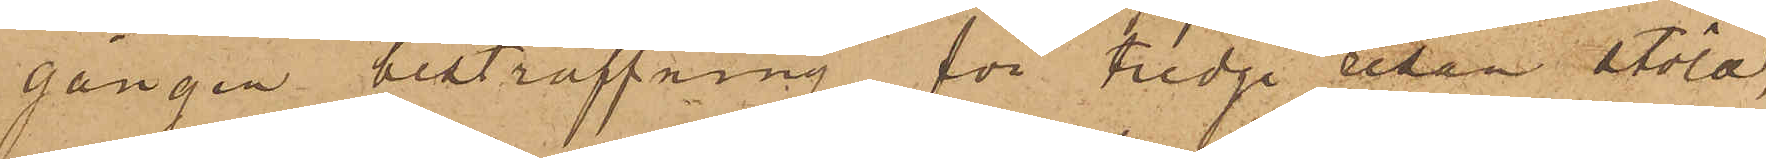gången bestraffning för tredje resan stöld,
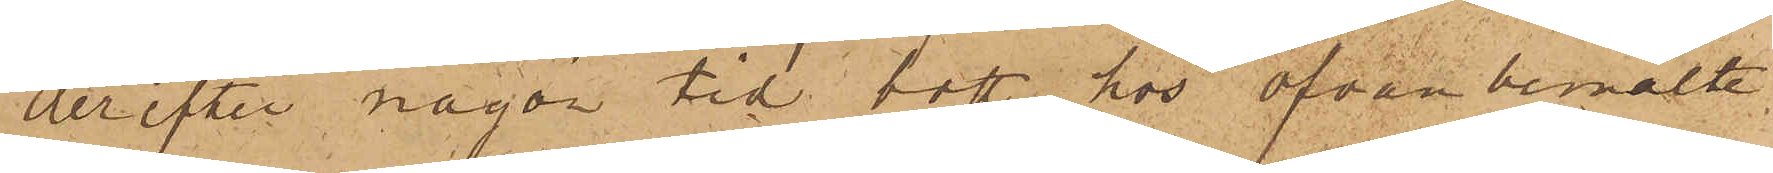derefter någon tid bott hos ofvan bemälte
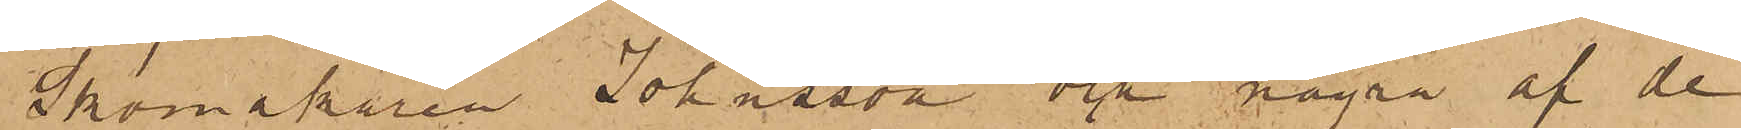Skomakaren Johnsson och några af de
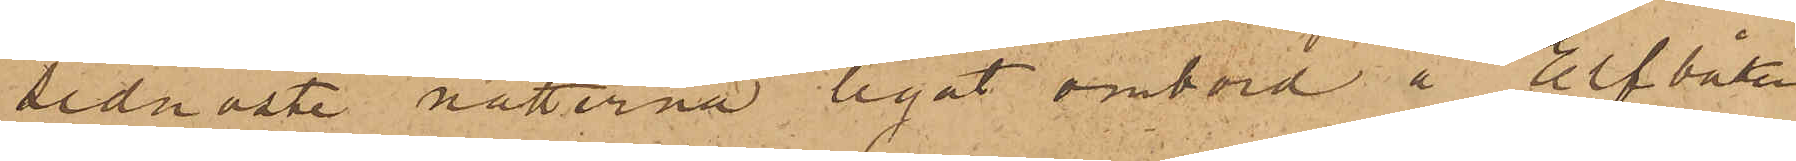sednaste nätterna legat ombord å Elfbåten
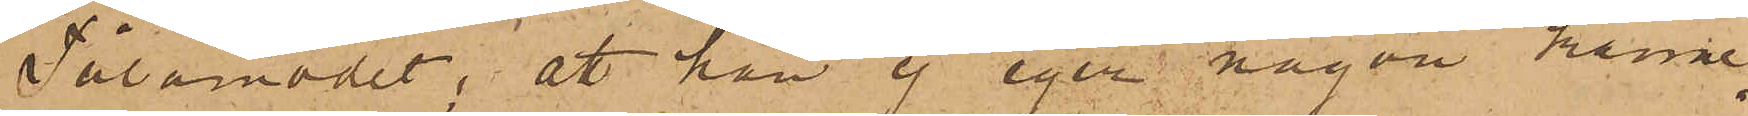Tålamodet; att han ej eger någon känne¬
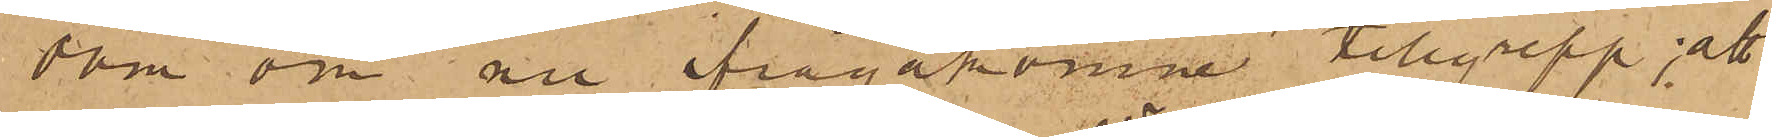dom om nu ifrågakomne tillgrepp; att
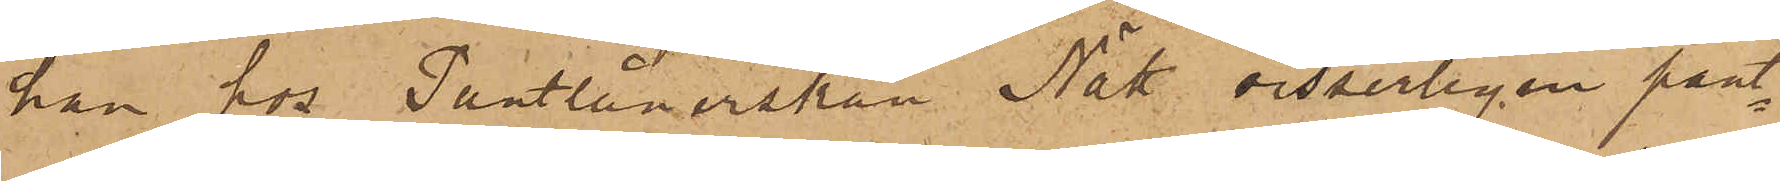han hos Pantlånerskan Nätt visserligen pant¬
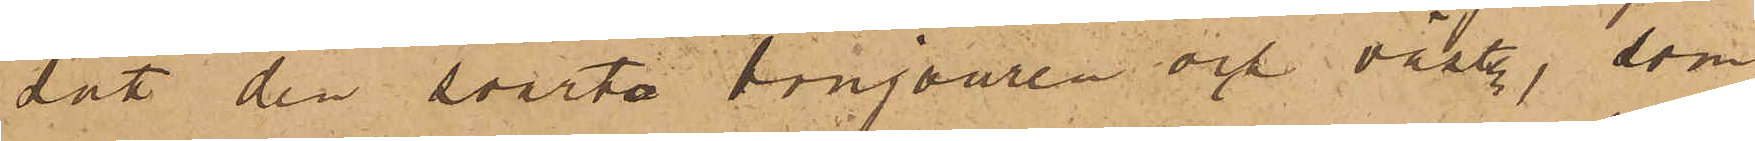dat den svarta bonjouren och västen, som
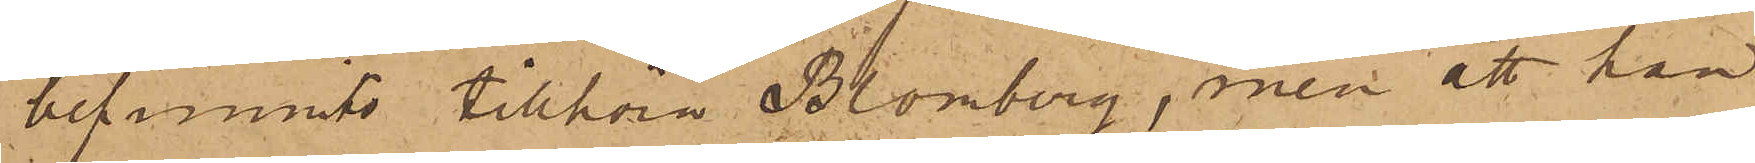befunnits tillhöra Blomberg, men att han
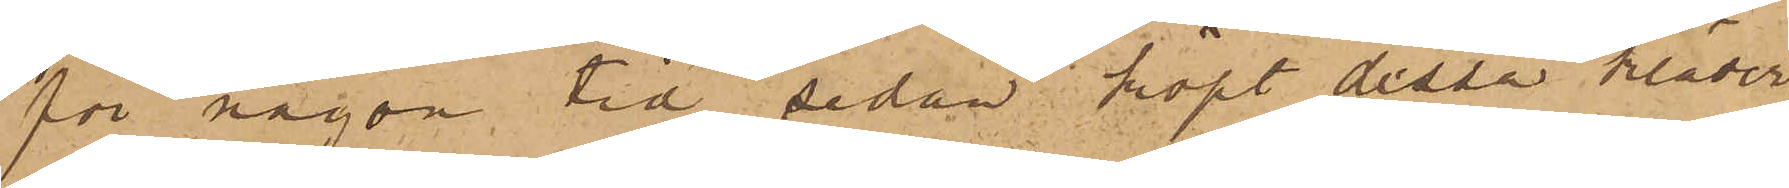för någon tid sedan köpt dessa kläder
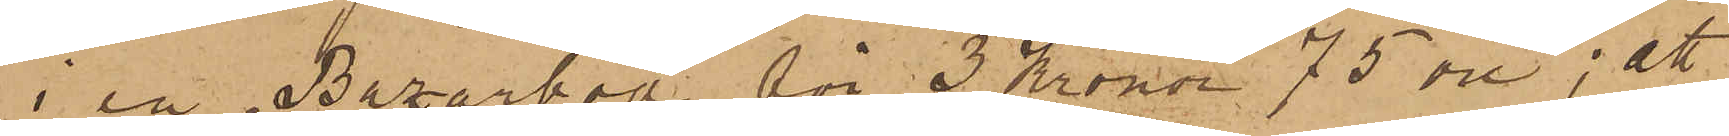i en Bazarbod för 3 Kronor 75 öre; att
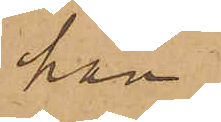han
